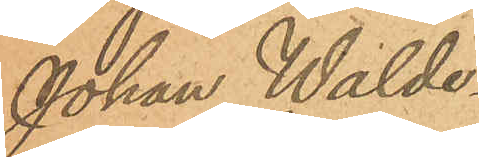Johan Walde¬
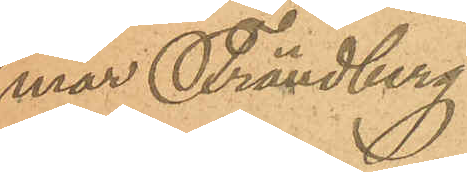mar Frändberg
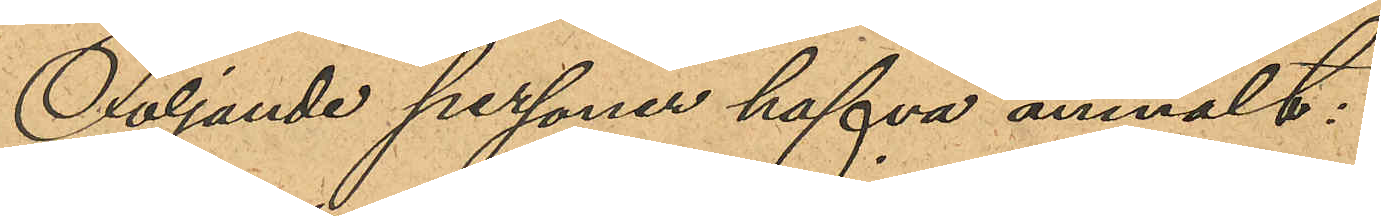Följande personer hafva anmält:
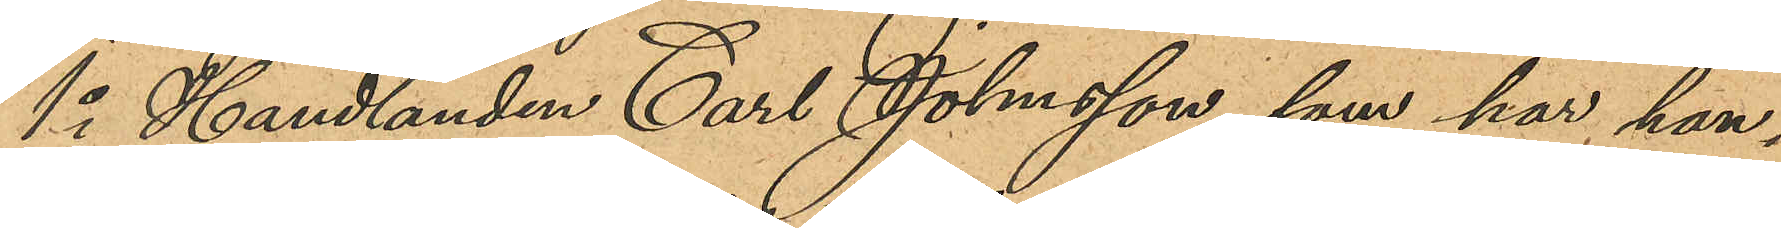1o Handlanden Carl Johnsson, som har han¬
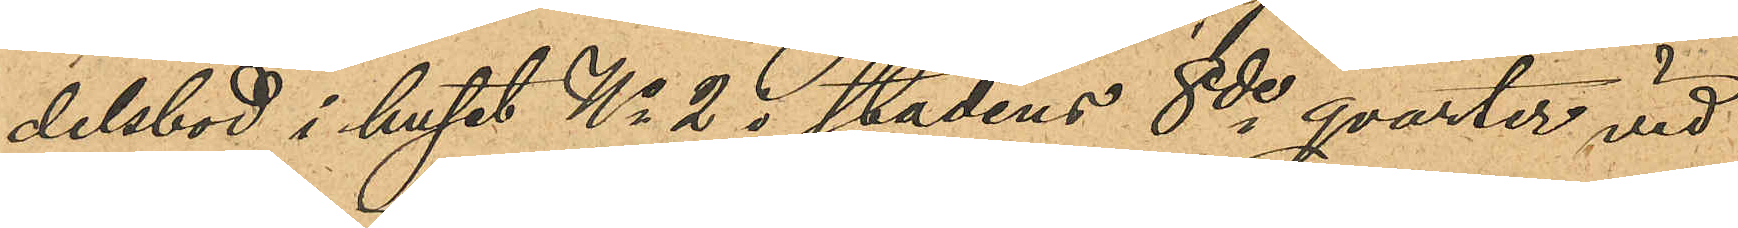delsbod i huset No 2 i stadens 8de qvarter vid
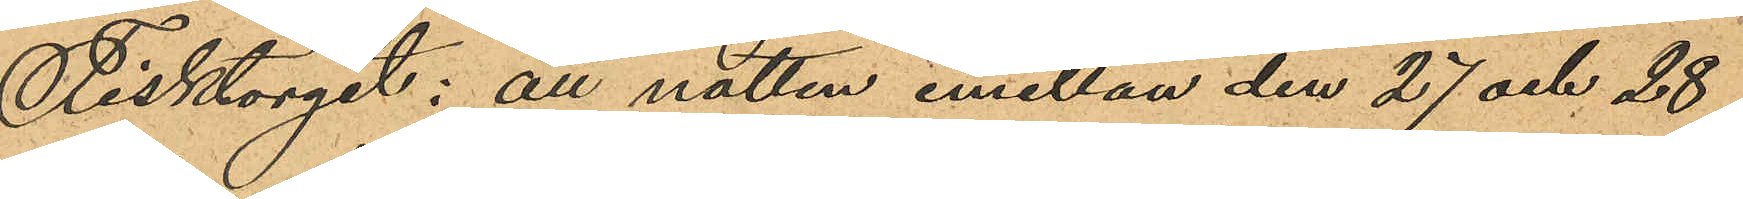Fisktorget: att natten emellan den 27 och 28
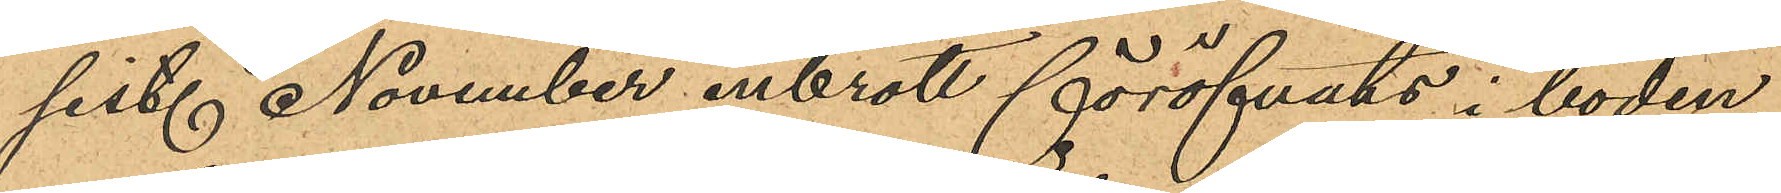sist. November inbrott föröfvats i boden;
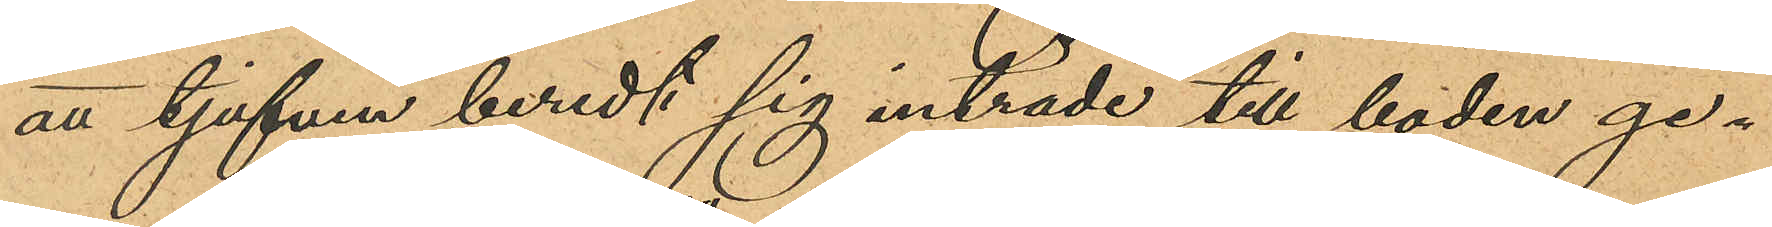att tjufven beredt sig inträde till boden ge¬
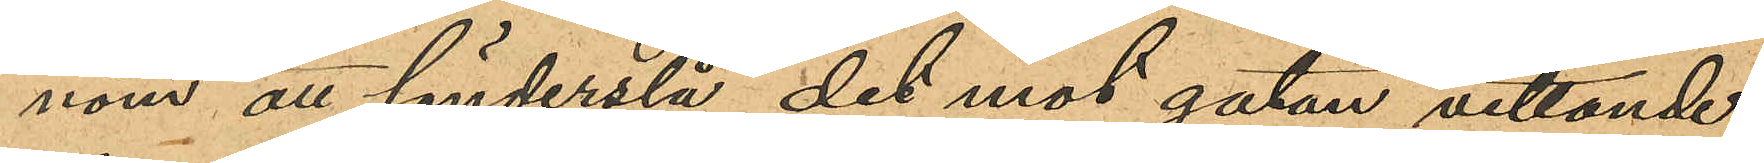nom att sönderslå det mot gatan vettande
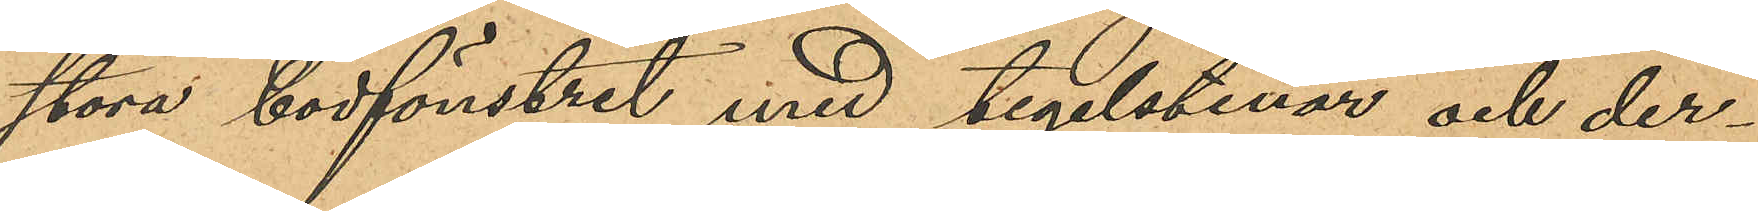stora bodfönstret med tegelstenar och der¬
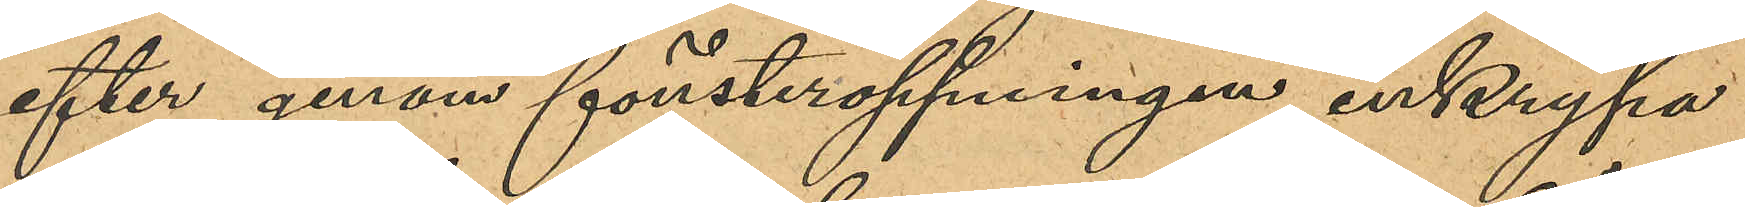efter genom fönsteröppningen inkrypa
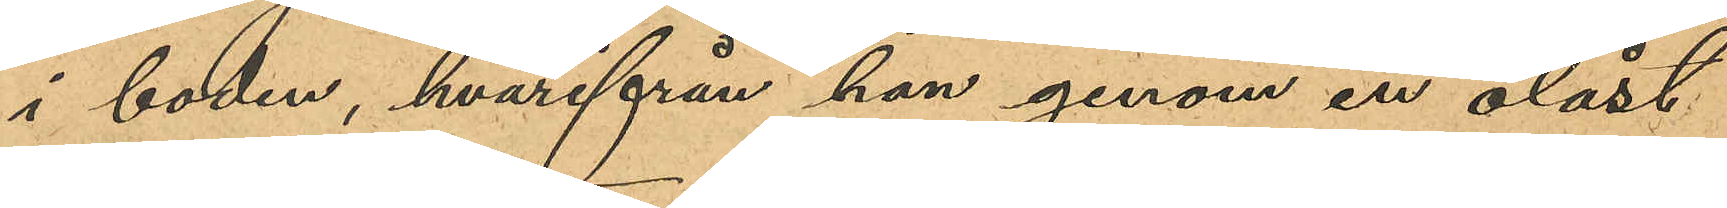i boden, hvarifrån han genom en olåst
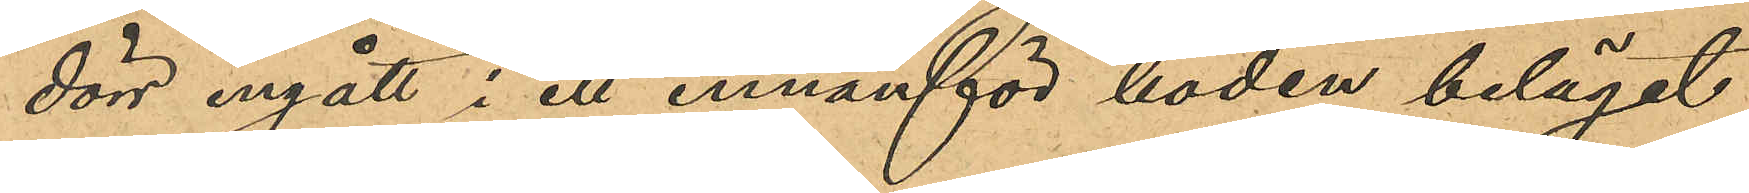dörr ingått i ett innanför boden beläget
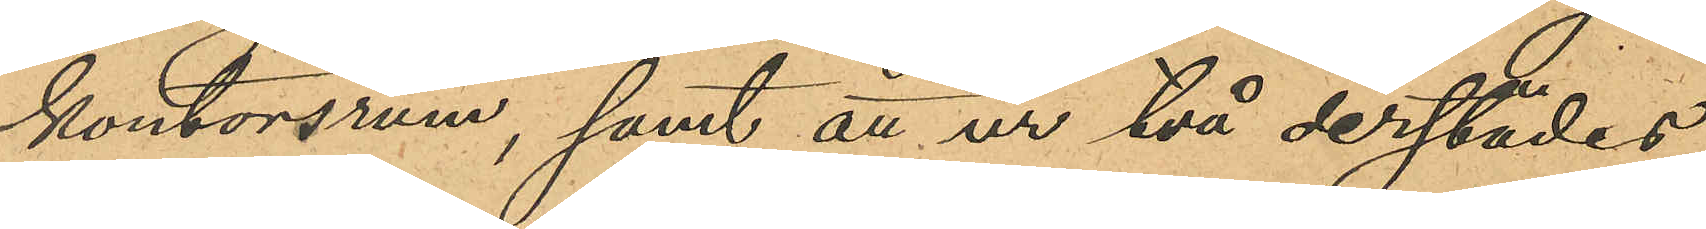kontorsrum, samt att ur två derstädes
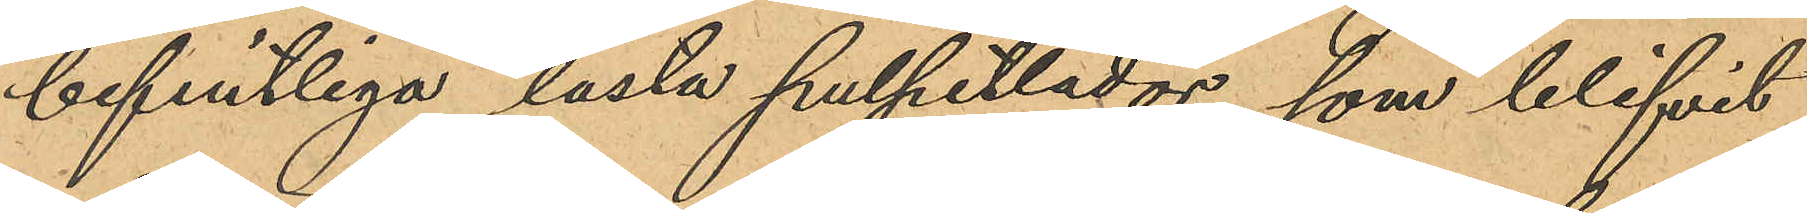befintliga låsta pulpetlådor, som blifvit
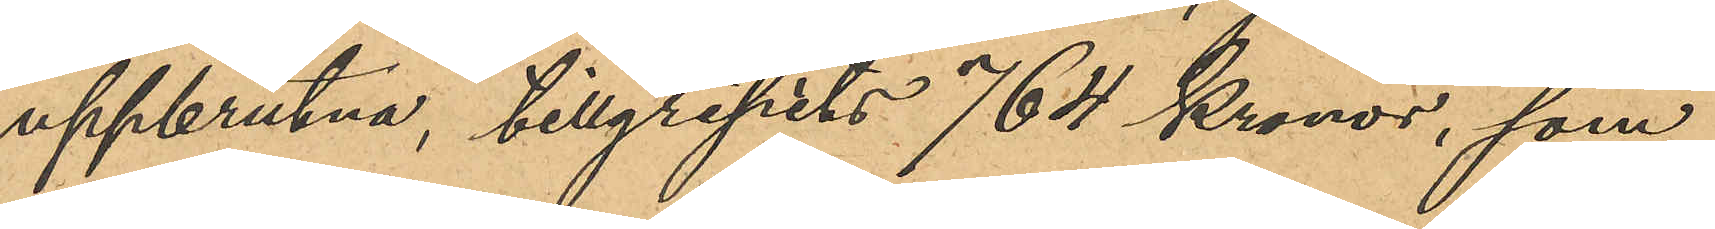uppbrutna, tillgripits 764 Kronor, som
